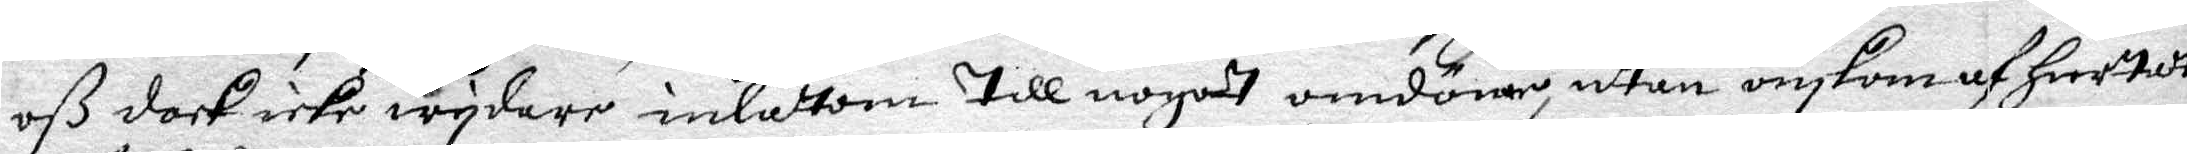oß dock icke wydare inlåttom till nogodt omdöme, utan önskom af hiertat
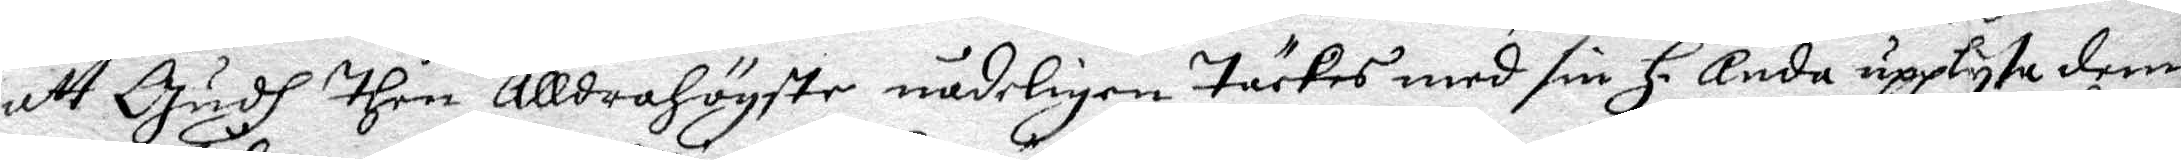att Gudh then alldrahögste nådeligen täckes med sin H. Anda upplysa dem
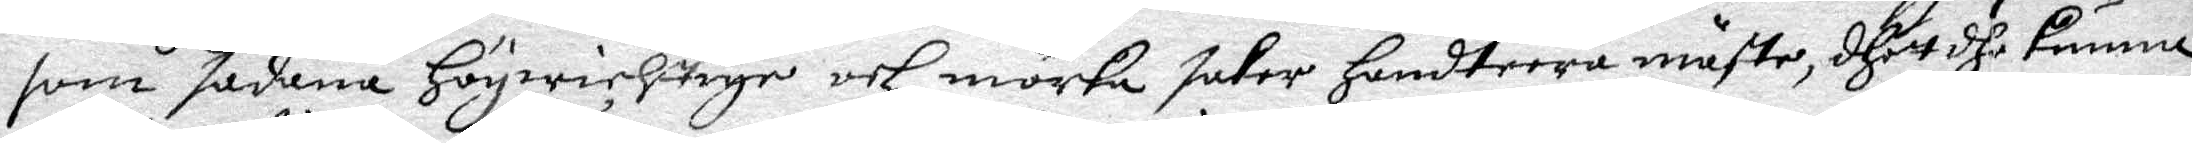som sådana högwichtige och mörka saker handterra måste, dhet dhe kunna
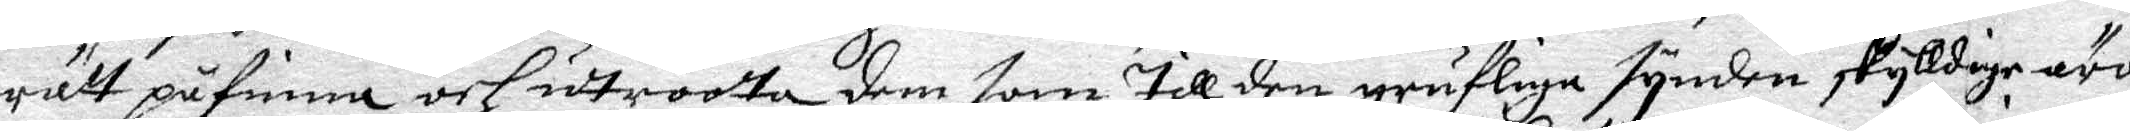rätt påfinna och uttroota dem som till den grufliga synden skylldige äro,
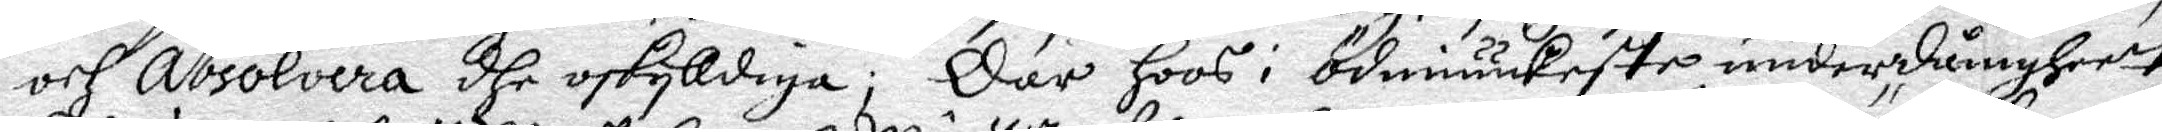och Absolvera dhe oskyldiga; Där hoos i Ödmiuukeste underdånigheett
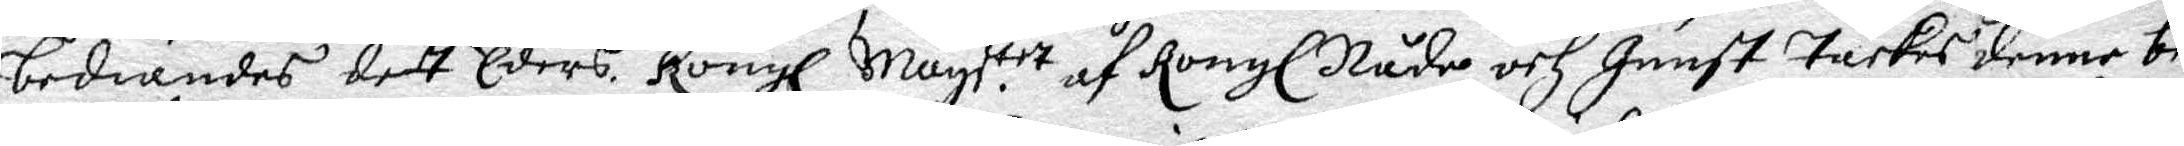bediandes dett Eders Kongl. May.ttt af Kongl. Nåde och Gunst täckes denne be¬
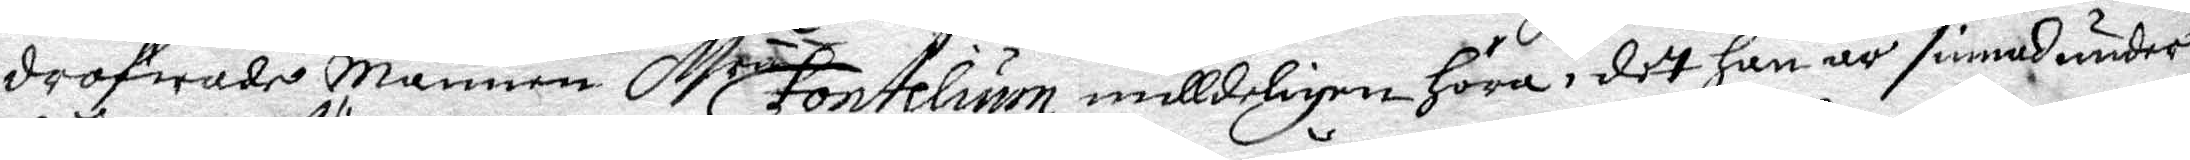dröfwade Mannen M.r Fontelium milldeligen höra i det han är sinnad under¬
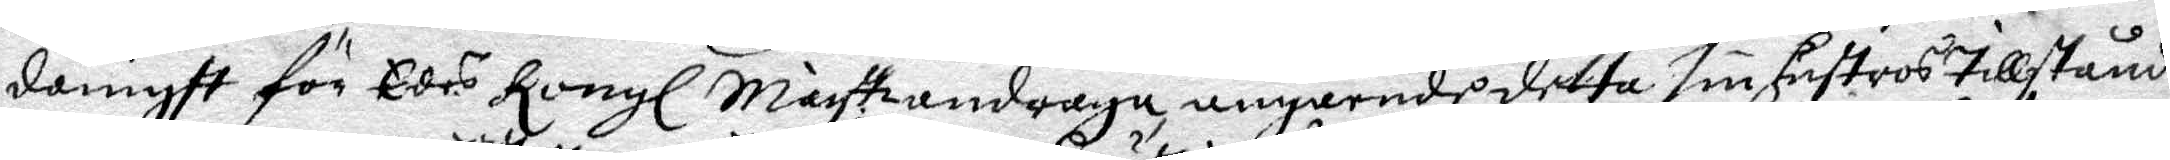dånigst för Edes Kongl. Mayth andraga, angående detta sin hustros tillstånd.
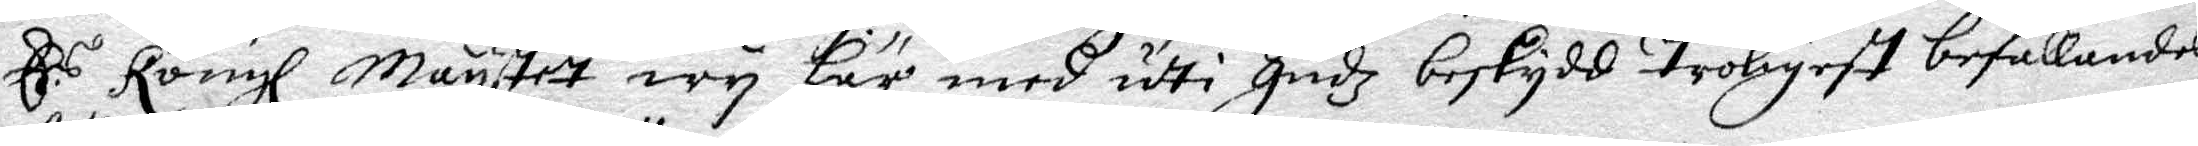E.s Kongl. Maystet wy här med udti Gudz beskydd troligest befallandes
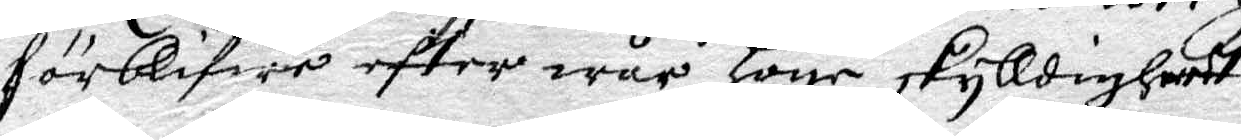förblifwer eftter wår höge skylldigheet
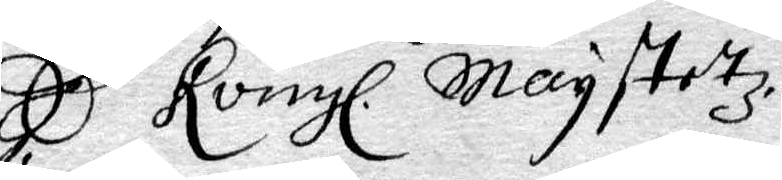E. Kongl. Maystetz
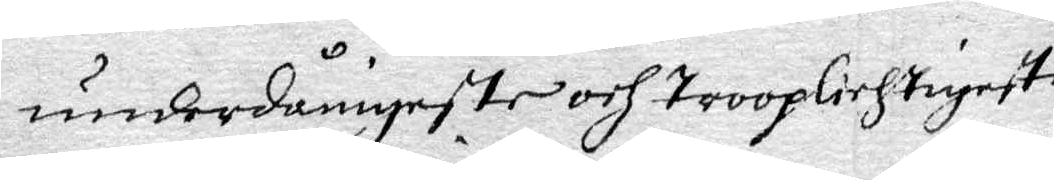underdånigeste och trooplichtigeste
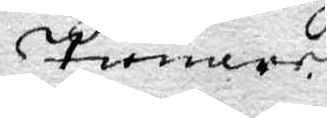Tienare
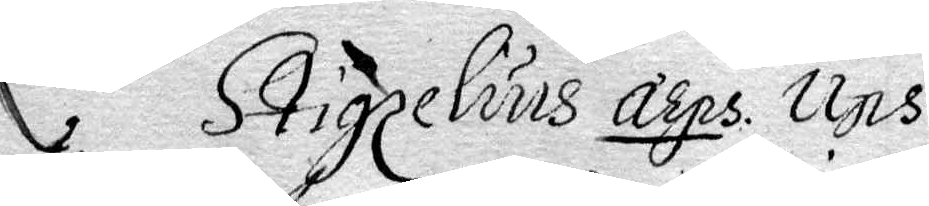L. Stigzelius arps. Ups.
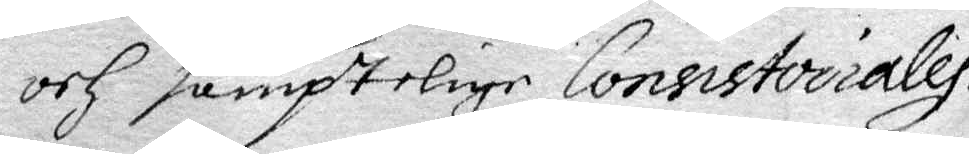och samptelige Consistoiraly.
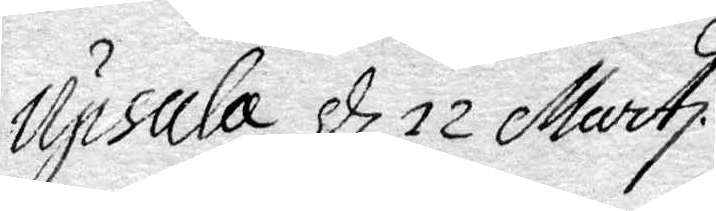Upsala d. 12 Marti.
